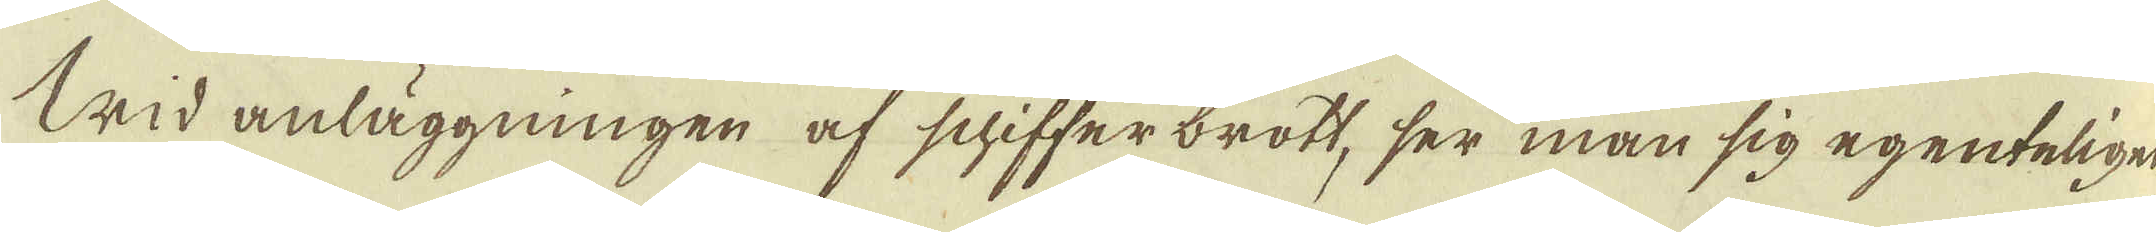Wid anläggningen af schiffer brott, ser man sig egenteligen
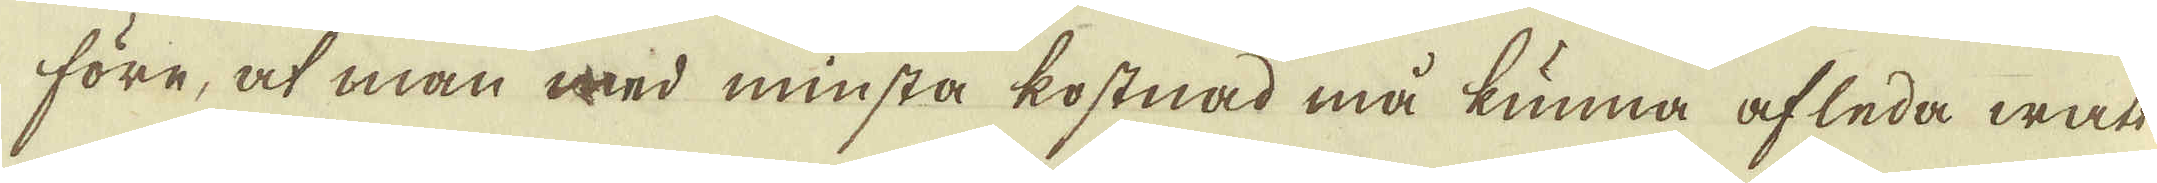före, at man med minsta kostnad må kunna afleda watt-
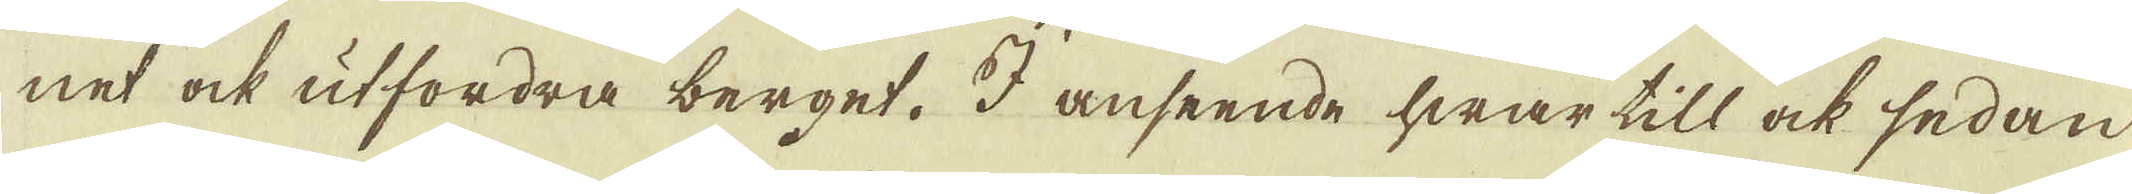net ock utfordra berget. I anseende hwar till ock sedan
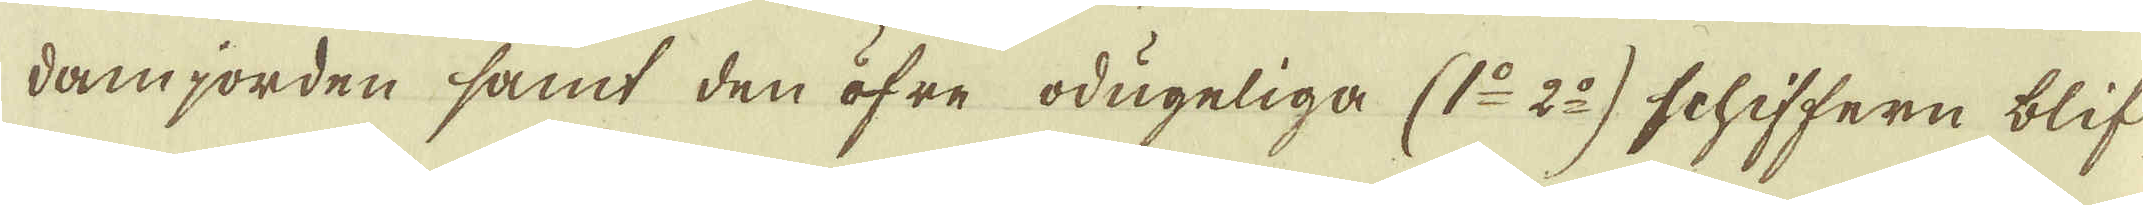damjorden samt den öfre odugeliga (1:o 2:o) schiffern blif-
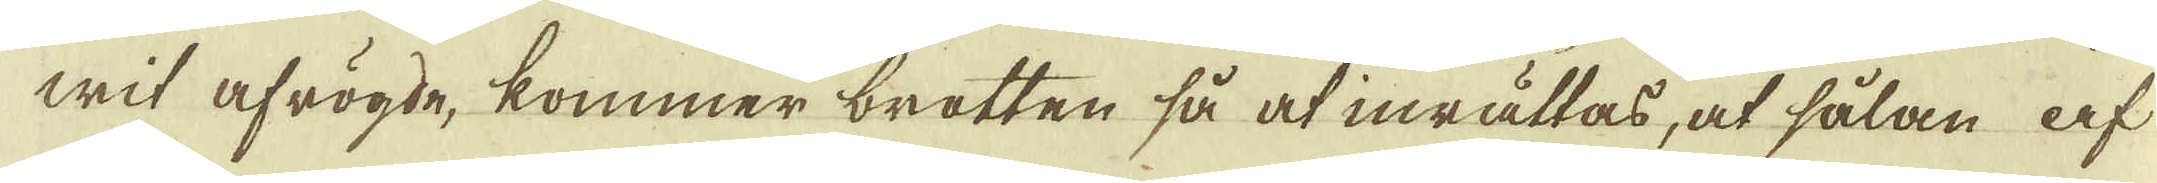wit afrögde, kommer brotten så at inrättas, at sålan af
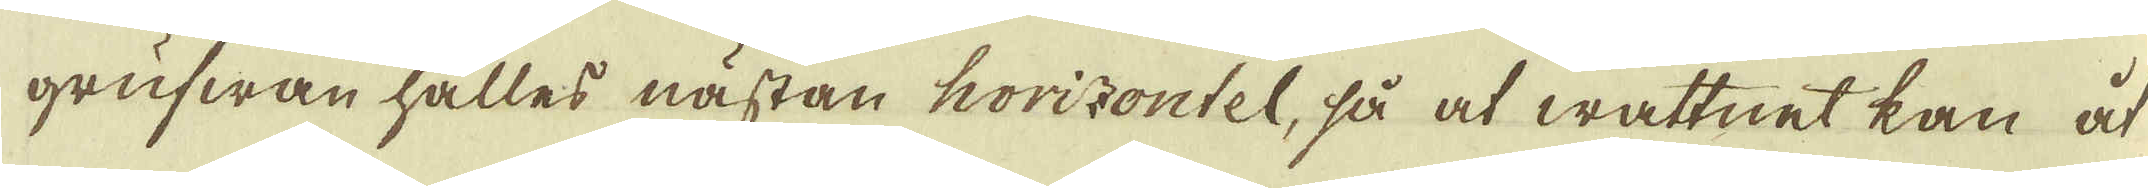grufwan hålles nästan horizontel, så at wattnet kan åt
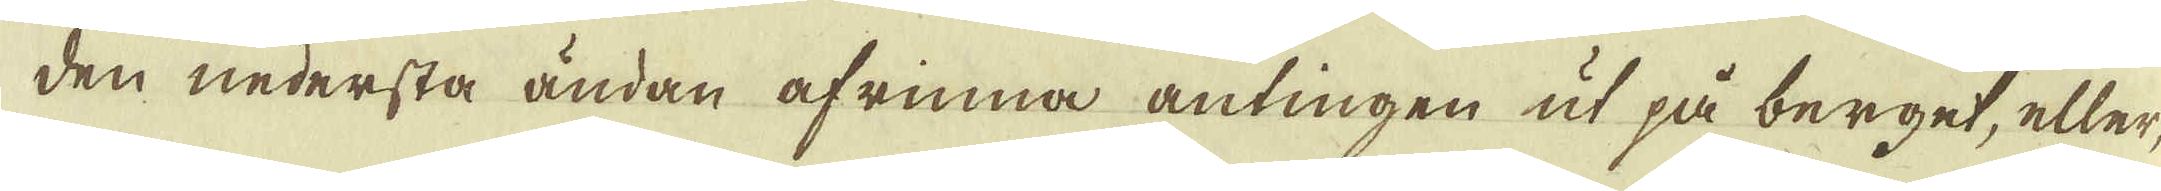den nedersta ändan afrinna antingen ut på berget, eller,
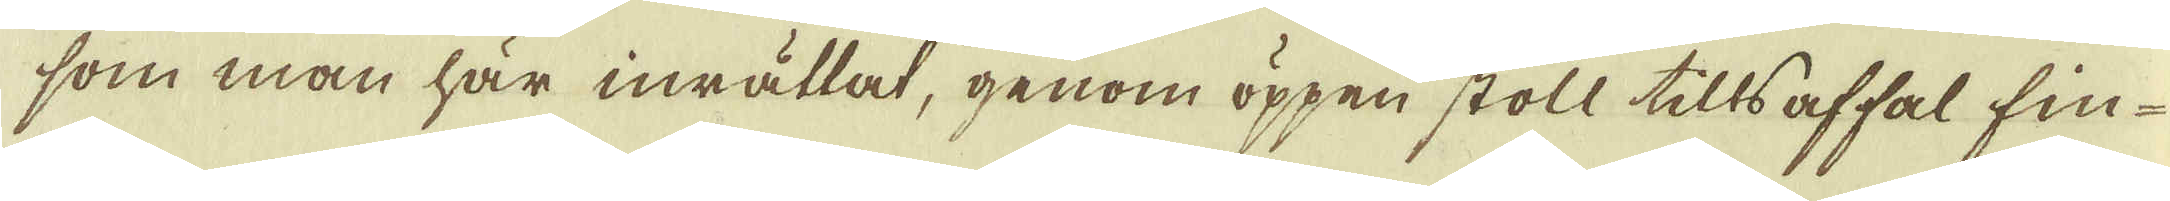som man här inrättat, genom öppen stoll tills affal fin-
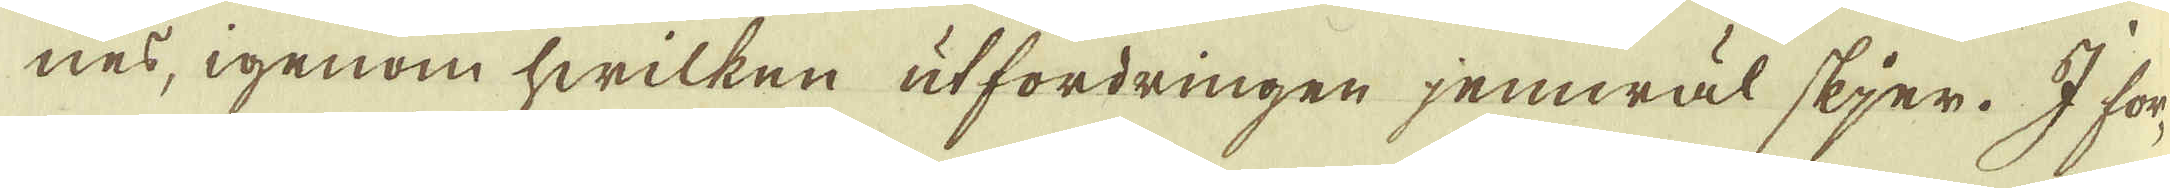nes, igenom hwilken utfordringen jemwäl skjer. I för-
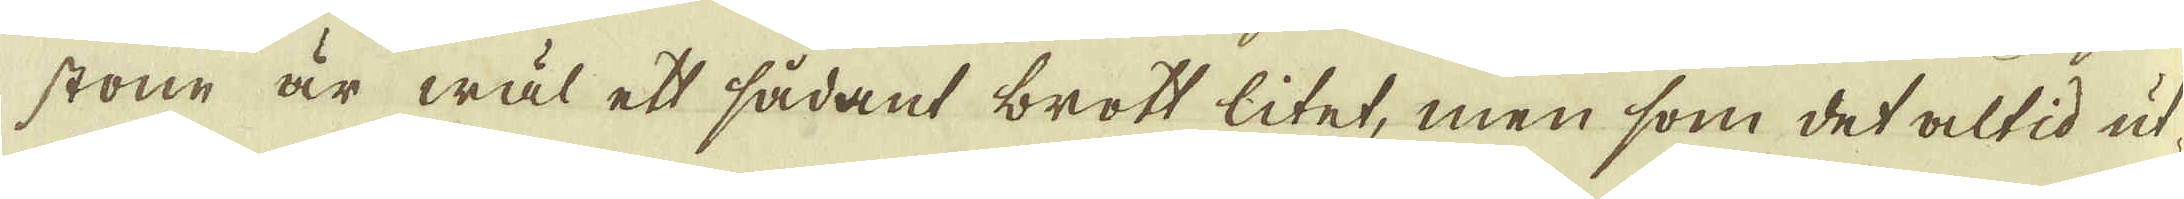stone är wäl ett sådant brott litet, men som det altid ut-
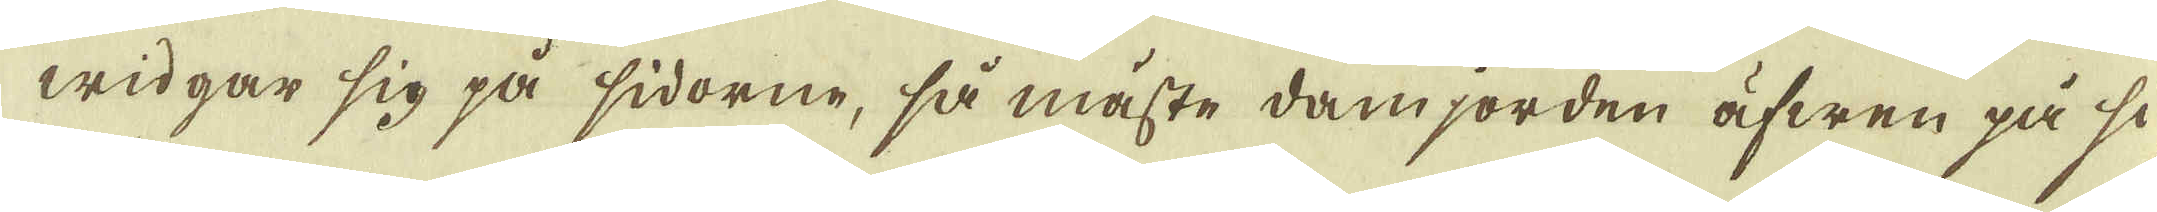widgar sig på sidorne, så måste damjorden äfwen på si-
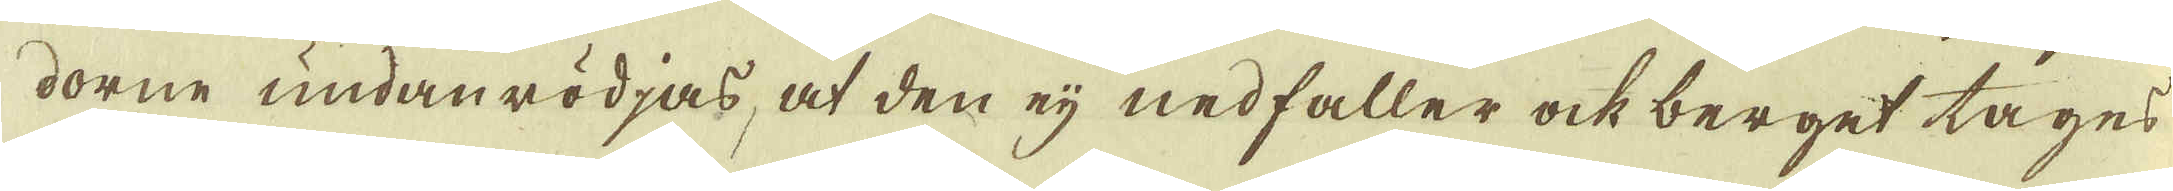dorne undanrödjas, at den eij nedfaller ock berget tages
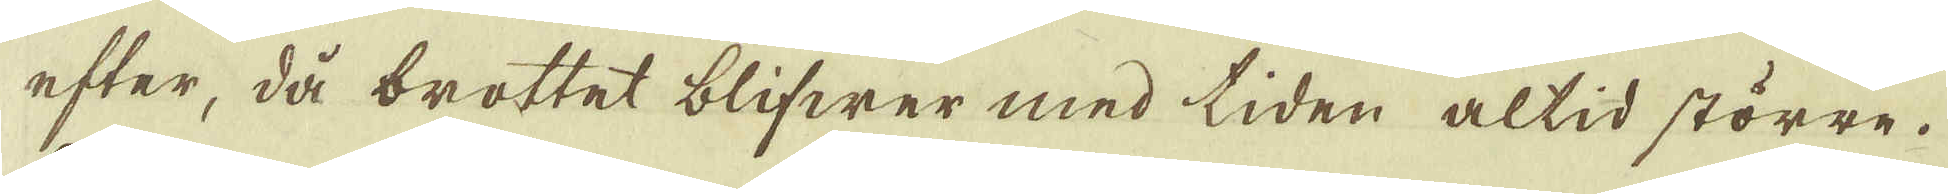efter, då brottet blifwer med tiden altid större.
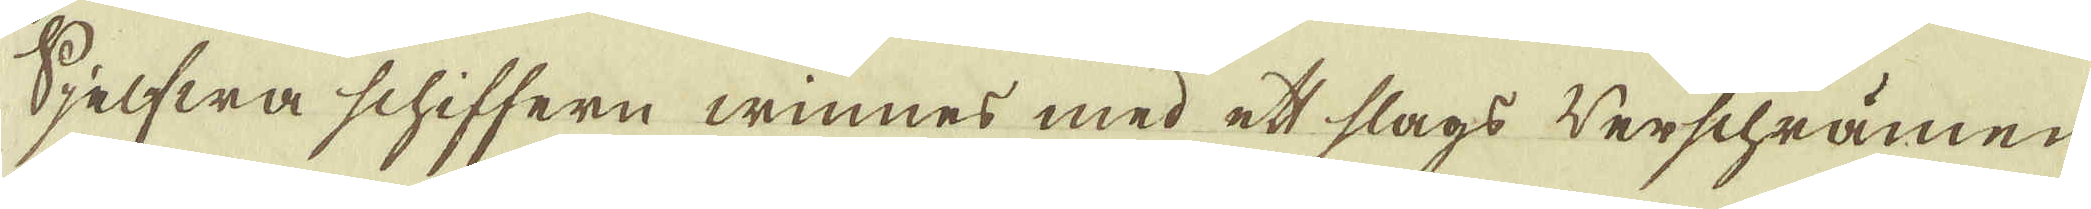Sjelfwa schiffern winnes med ett slags werschrämen
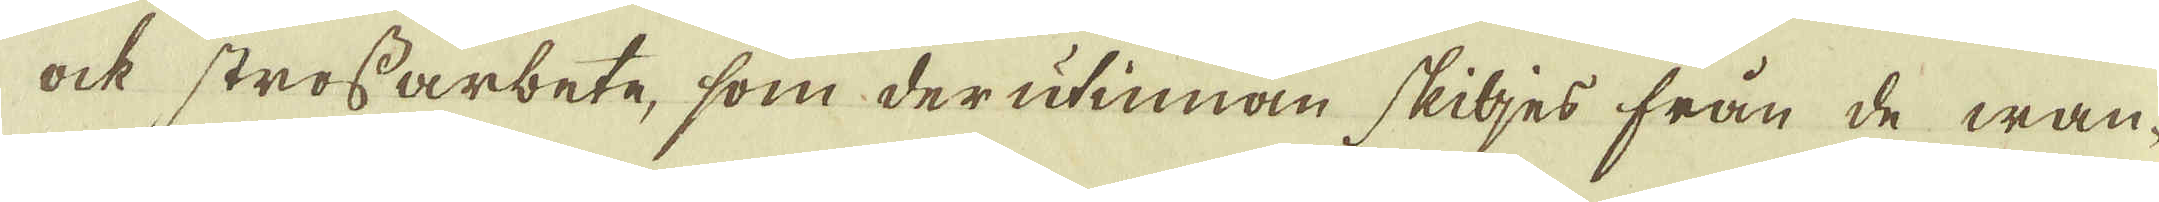ock strossarbete, som derutinnan skiljes från de wan-
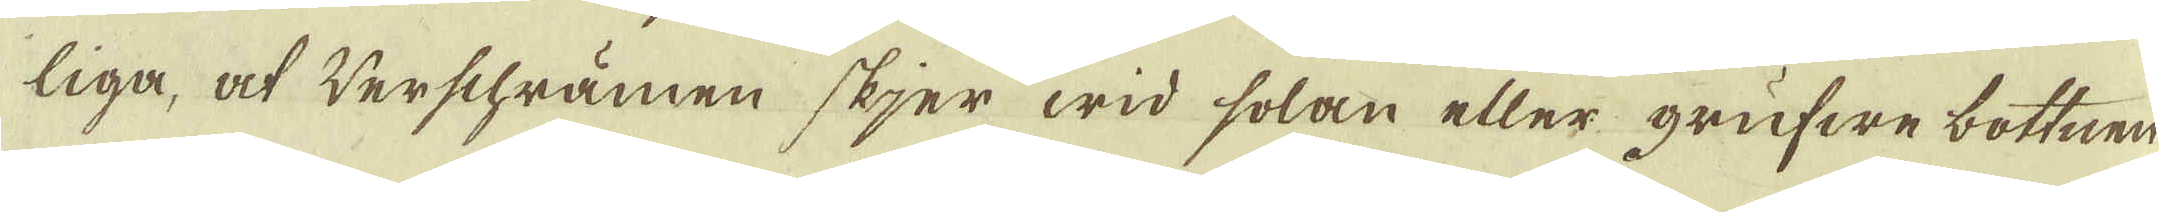liga, at werschrämen skjer wid solan eller grufwe bottnen
